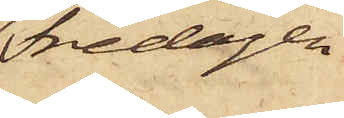Fredagen
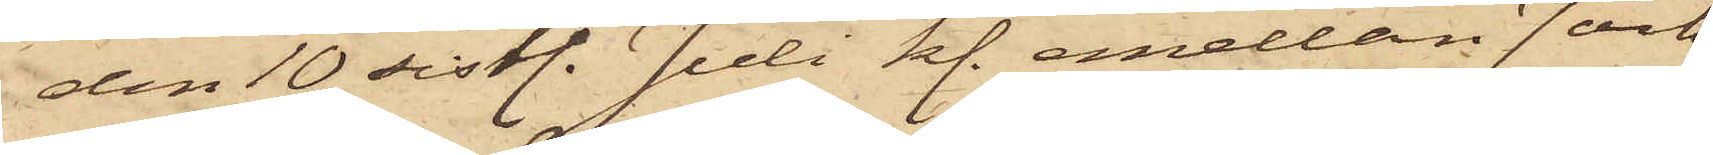den 10 sistl. Juli kl. emellan 7 och
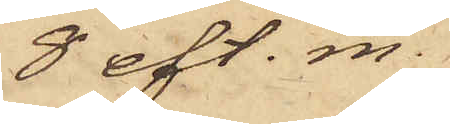8 eft. m.
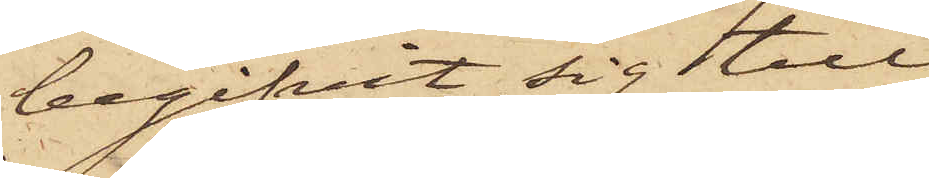begifvit sig till
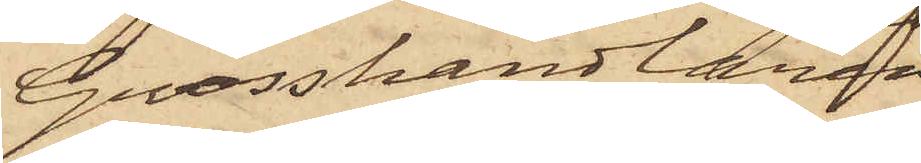Grosshandlaren
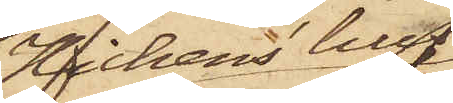Hickens' hus
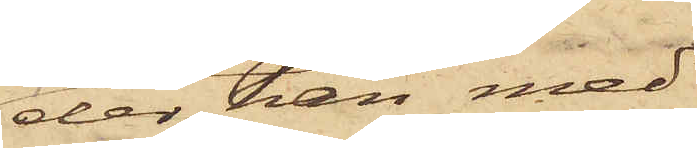der han med
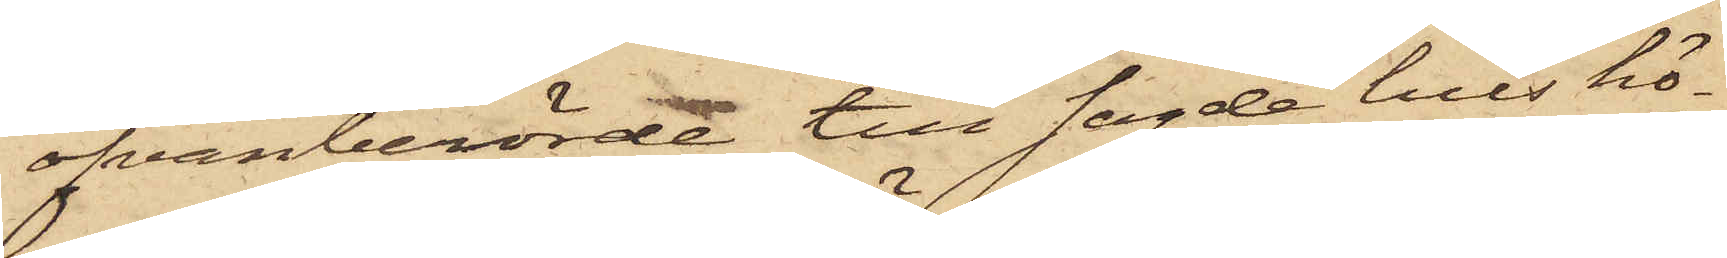ofvanberörde till sagde hus hö¬
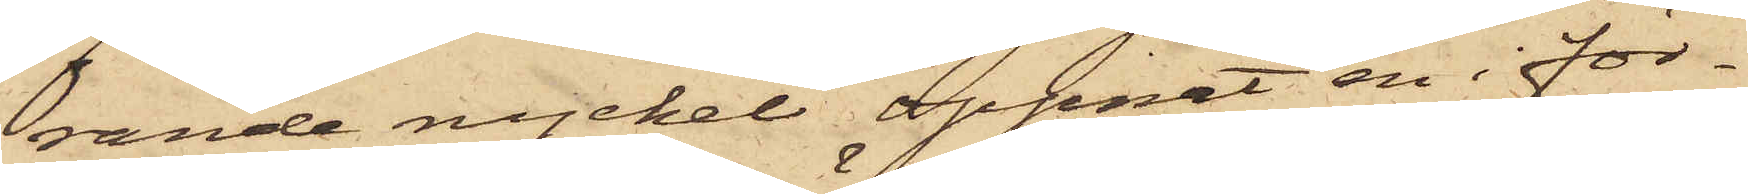rande nyckel öppnat en i för¬
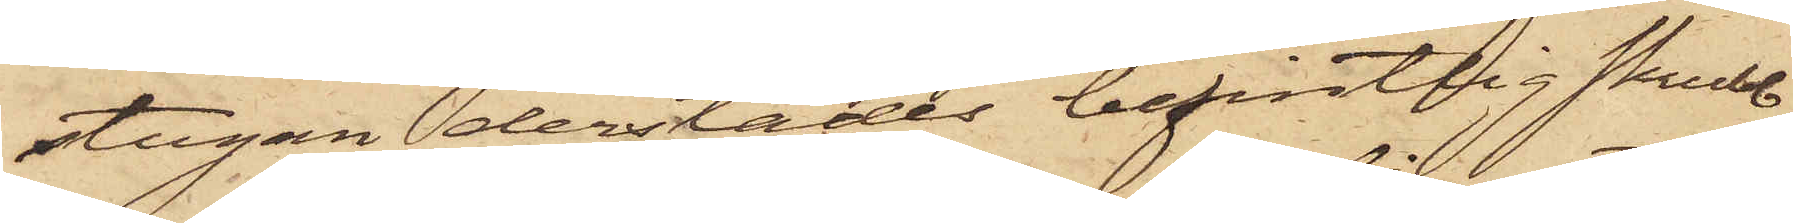stugan derstädes befintlig skrubb,
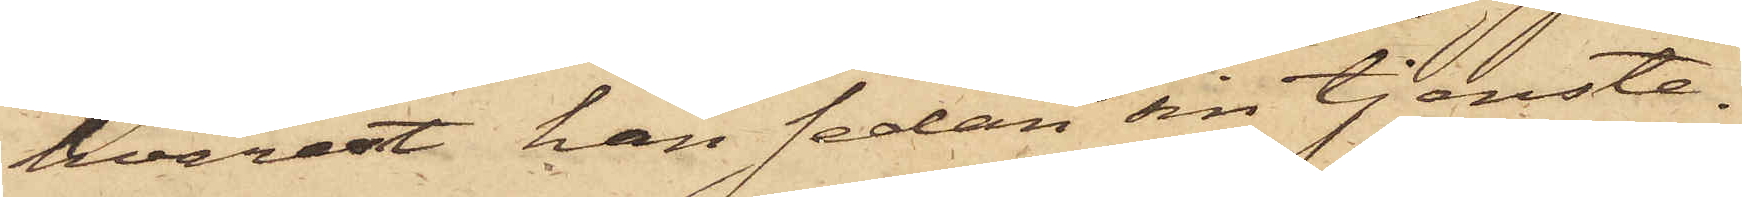hvarest han sedan sin tjenste¬
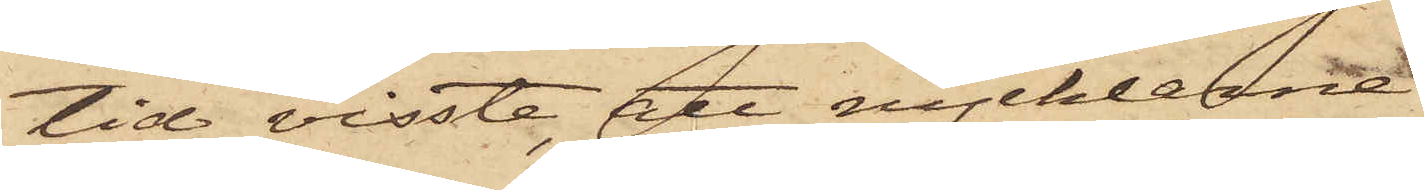tid visste, att nycklarne
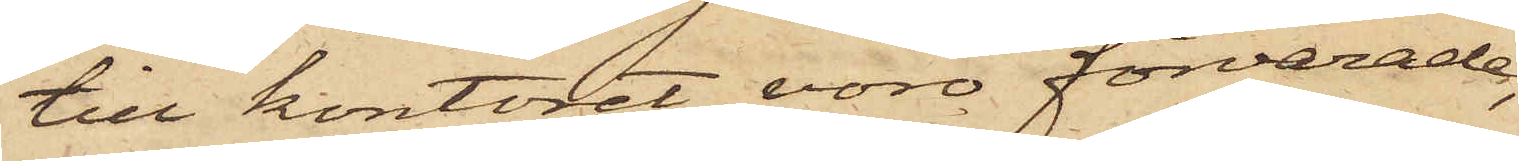till kontoret voro förvarade;
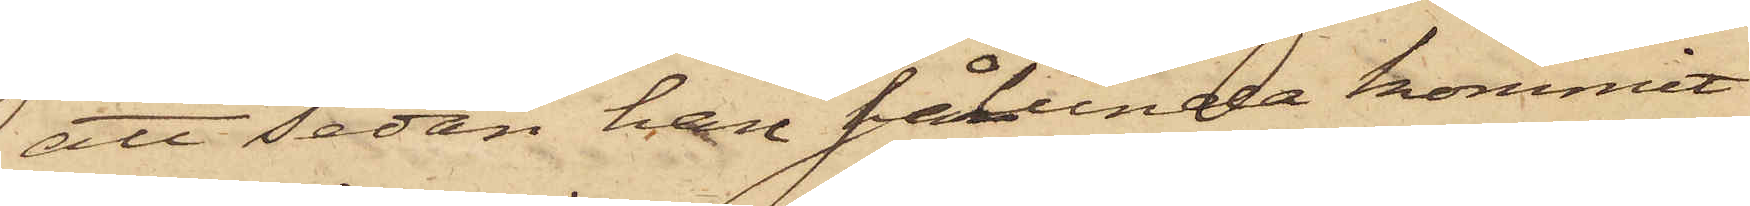att sedan han sålunda kommit
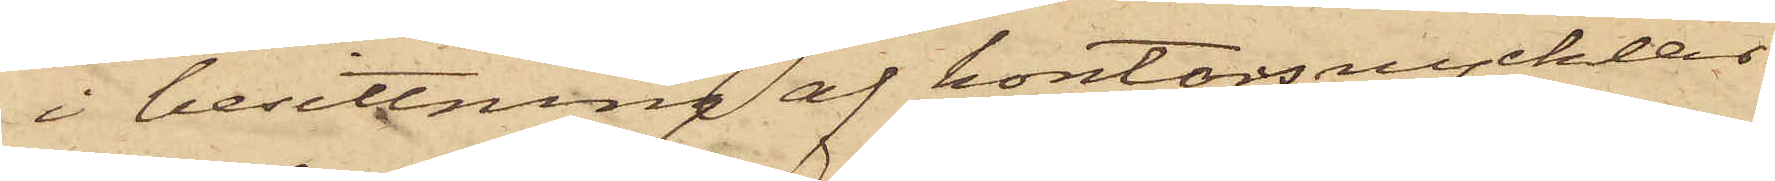i besittning af kontorsnycklar¬
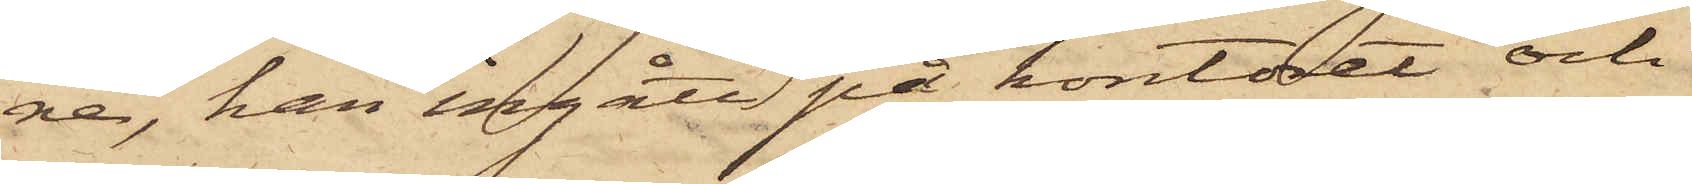ne, han ingått på kontoret och
